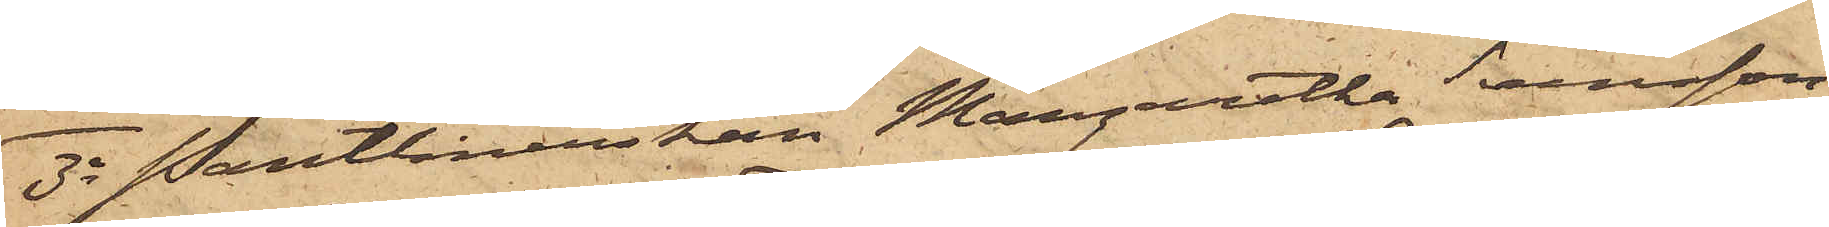3o Pantlånerskan Margaretha Svensson,
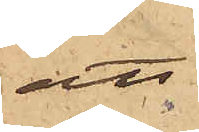att
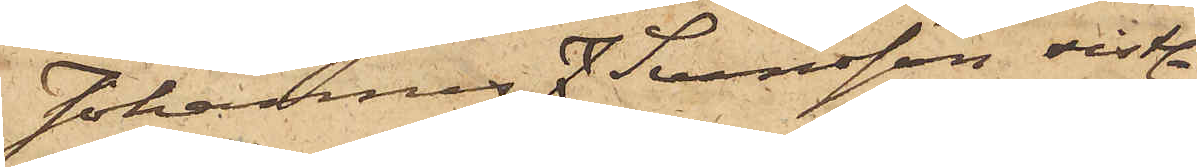Johannes J. Svensson sist¬
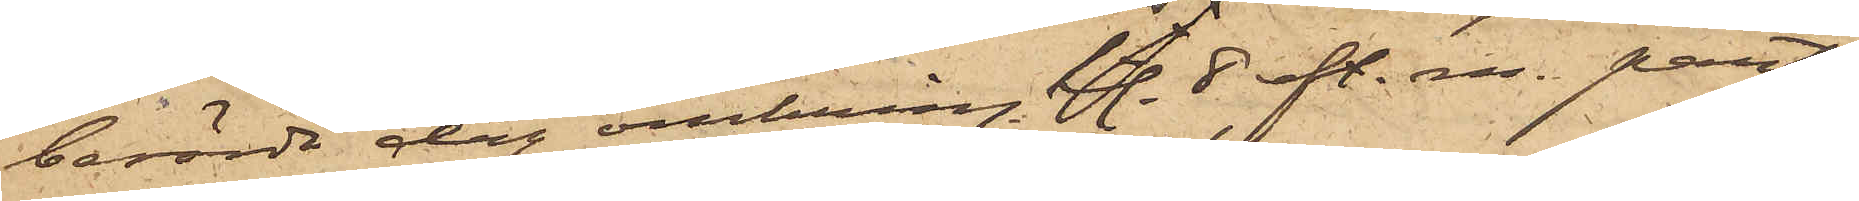berörde dag omkring kl. 8 eft. m. pant¬
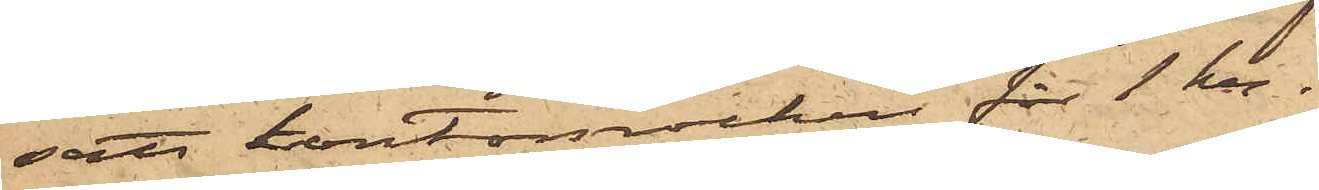satt kontorsrocken för 1 kr.
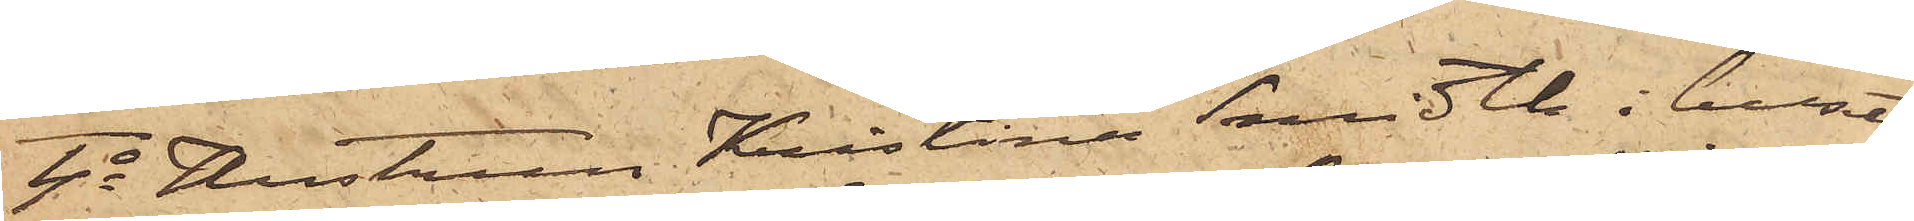4o Hustrun Kristina Schmidt i huset
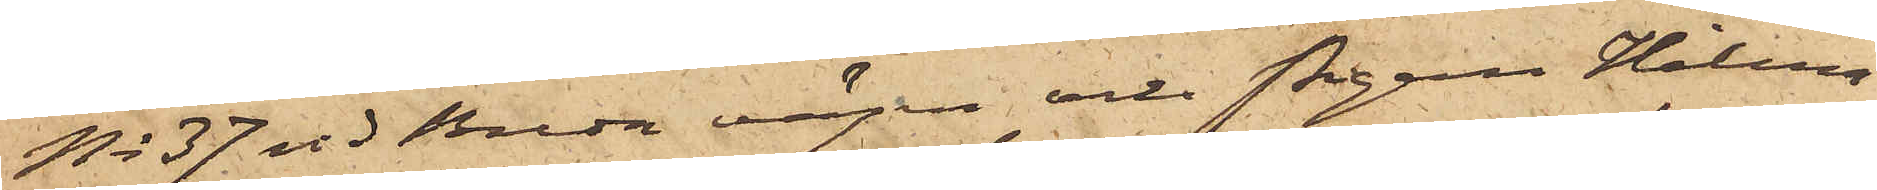No 37 vid Breda vägen och Pigan Helena
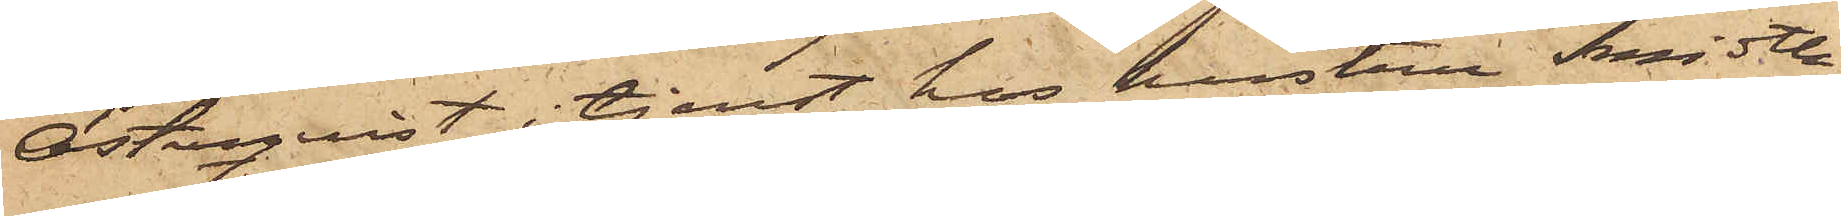Österqvist, i tjenst hos hustru Schmidt,
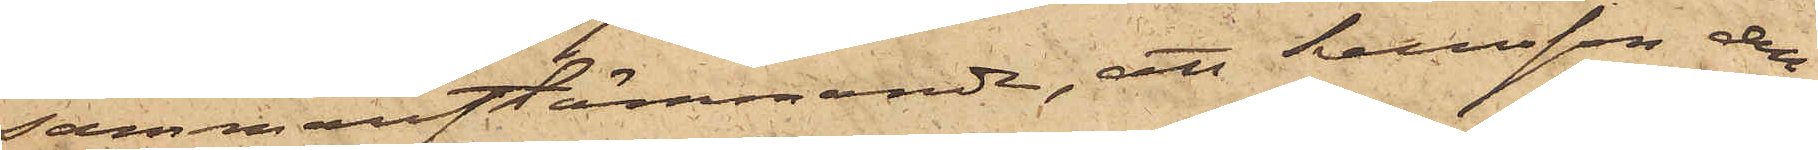sammanstämmande, att Svensson den
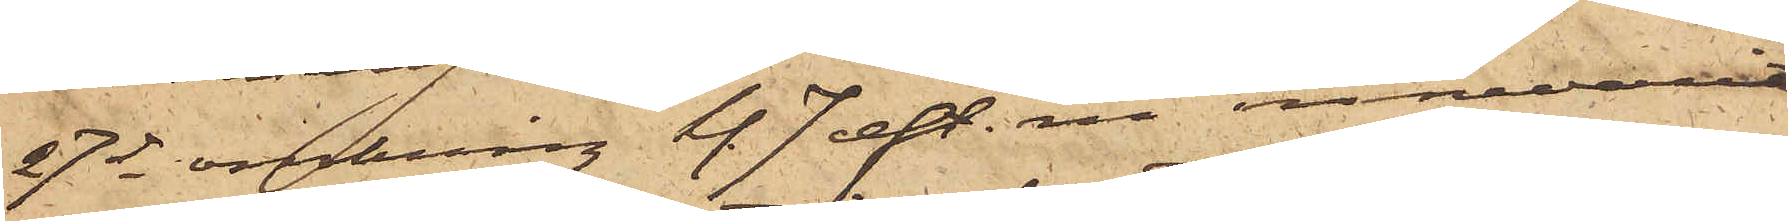27 ds omkring kl. 7 eft.m. innevarit
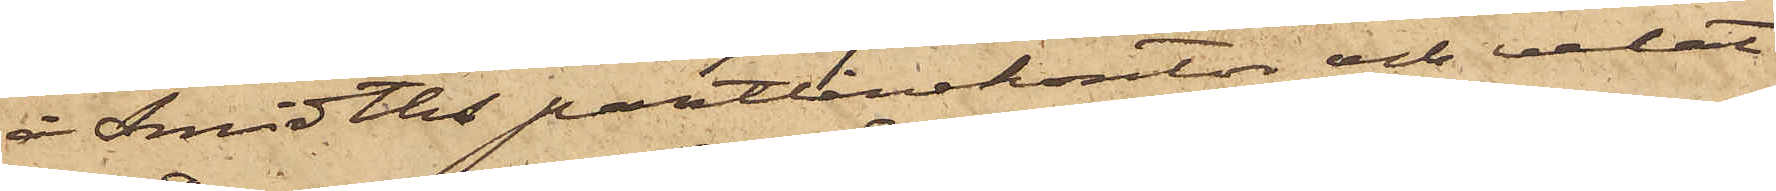å Schmidts pantlånekontor och velat
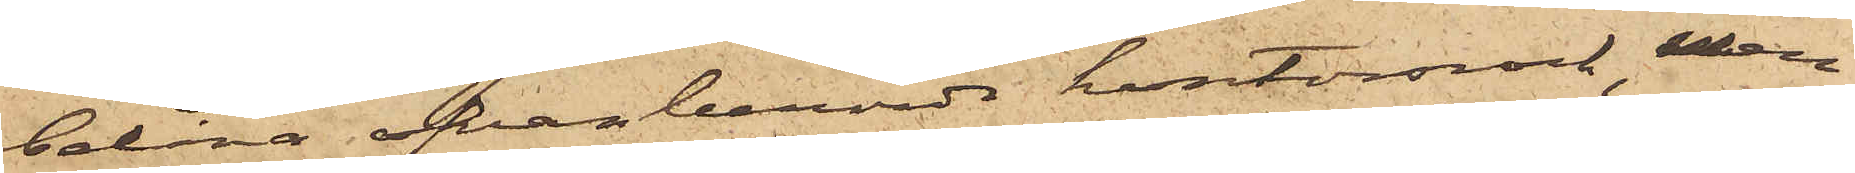belåna ofvanberörde kontorsrock, men
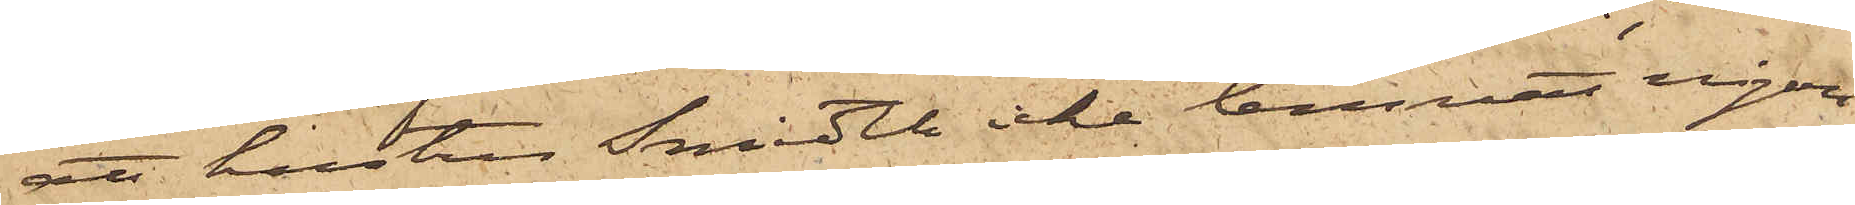att hustru Schmidt icke lemnat något
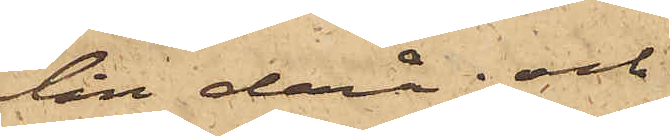lån derå; och
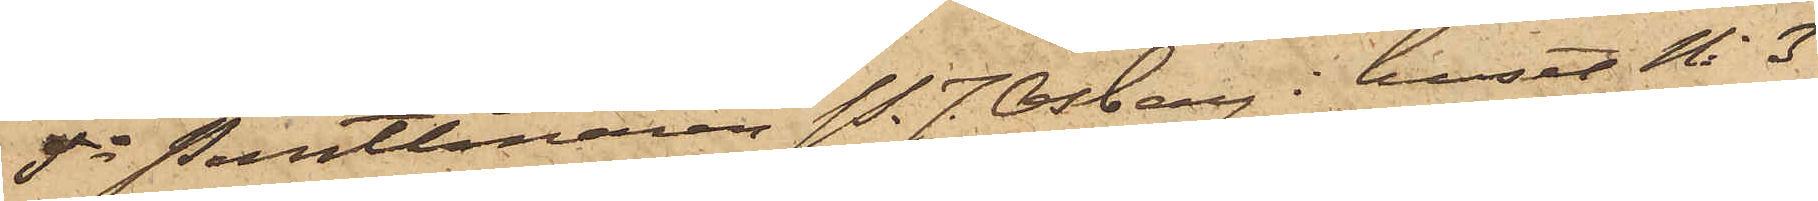5o Pantlånaren P. J. Osberg i huset No 3
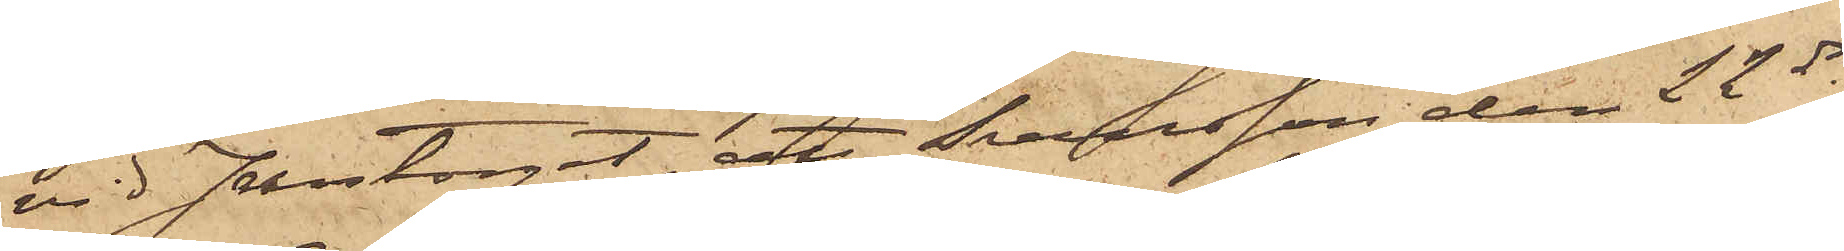vid Jerntorget, att Svensson den 22 ds
